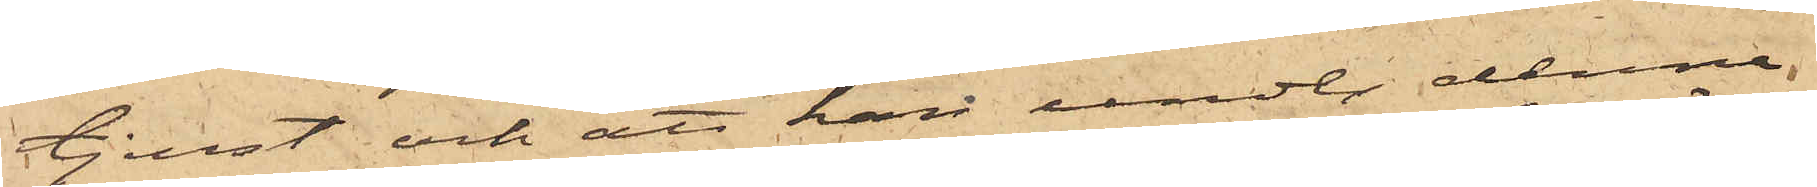tjenst och att han under denne
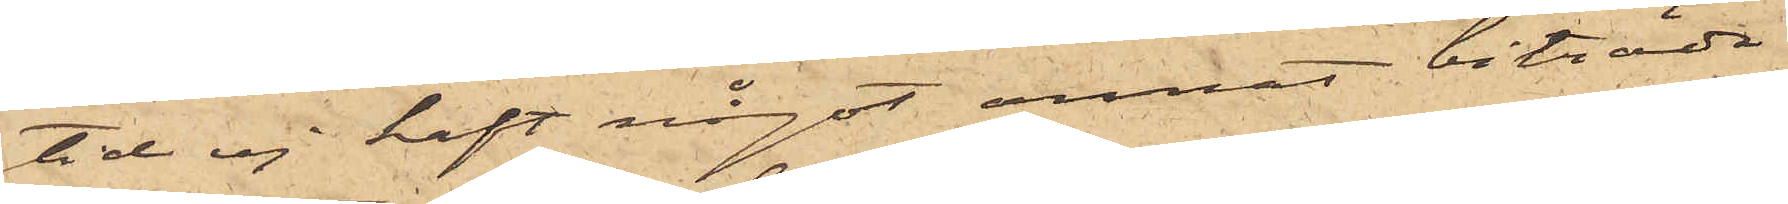tid ej haft något annat biträde
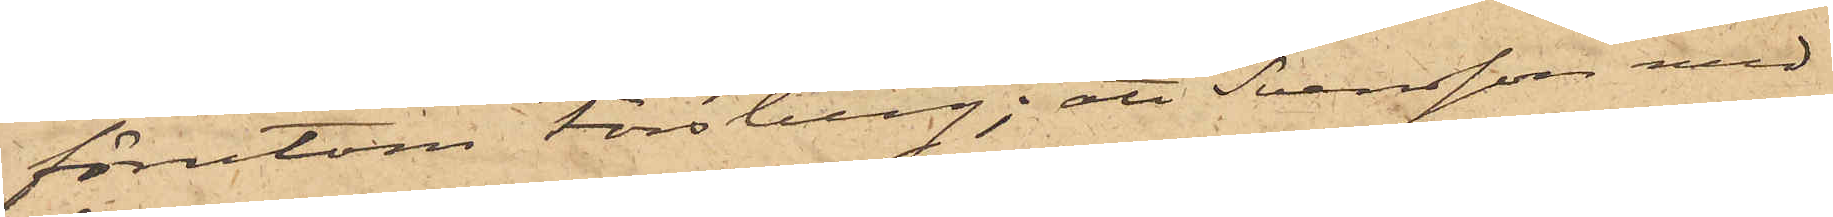förutom Forsberg; att Svensson med
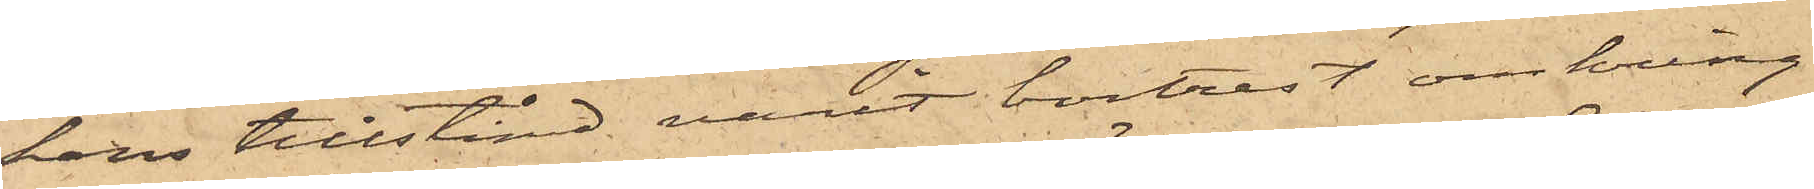hans tillstånd varit bortrest omkring
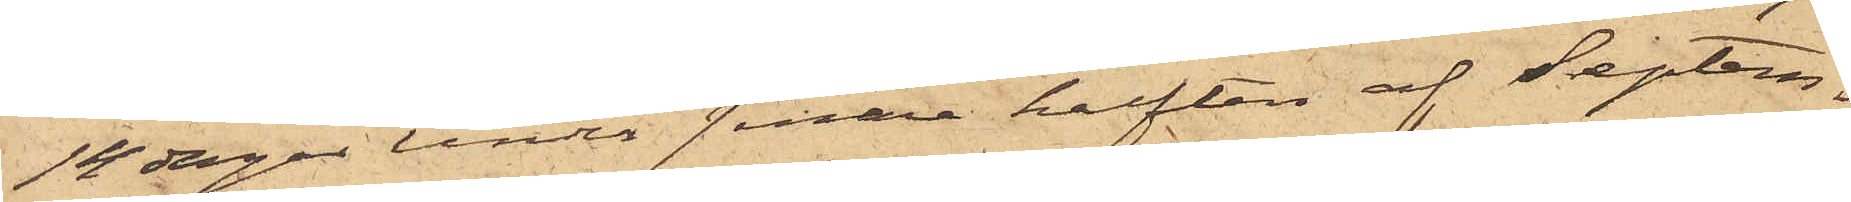14 dagar under senare hälften af Septem¬
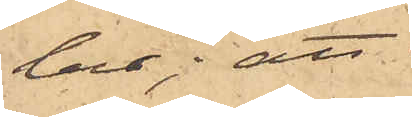ber; att
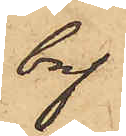bref
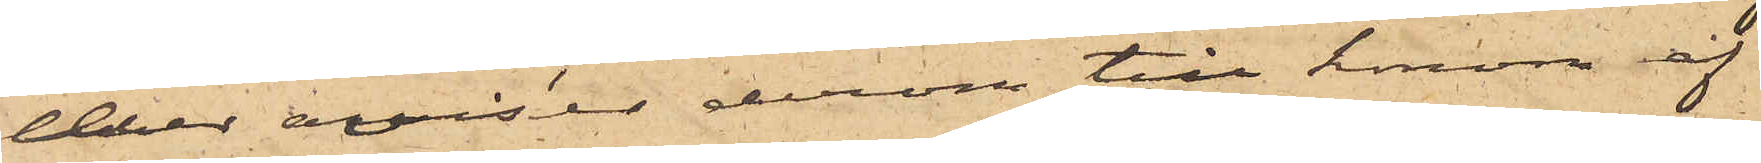eller aviser derom till honom af
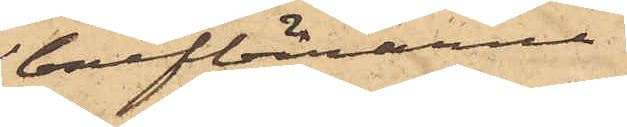brefbärarne
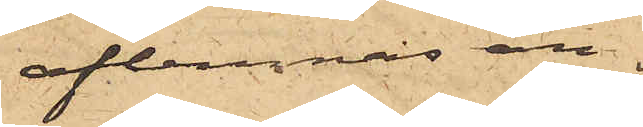aflemnas an¬
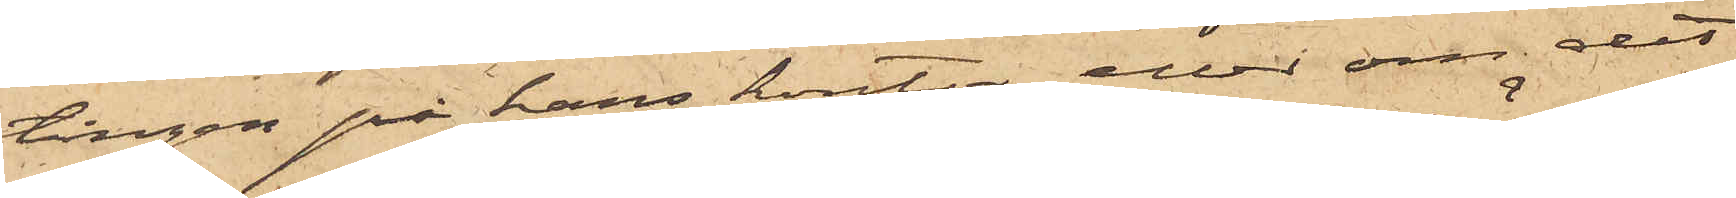tingen på hans kontor eller om det
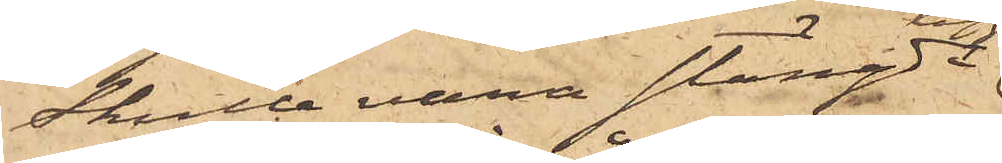skulle vara stängdt
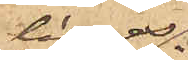läggas
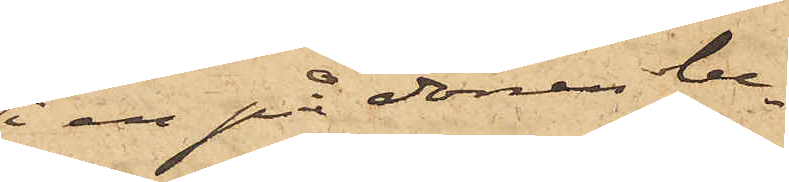i en på dörren be¬
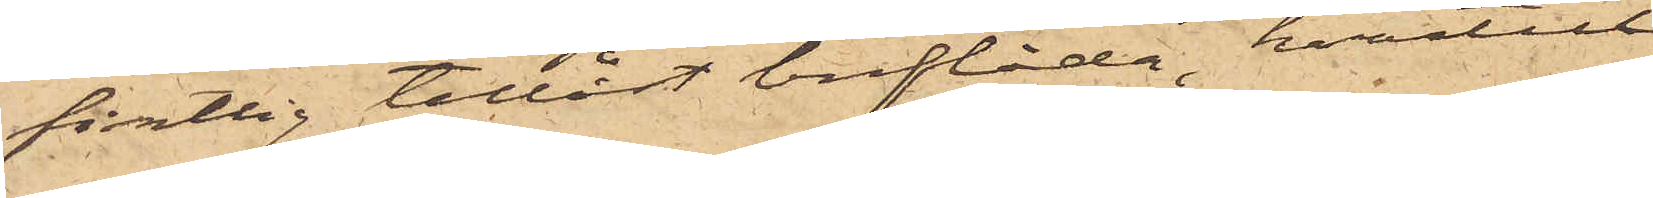fintlig tillåst breflåda, hvartill
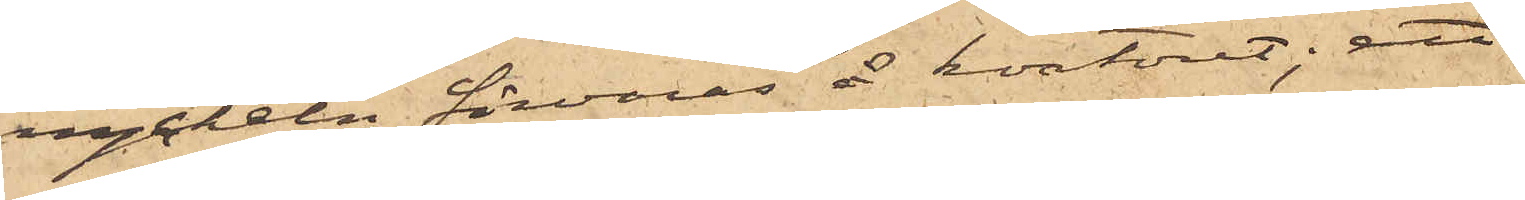nyckeln förvaras å kontoret; att
